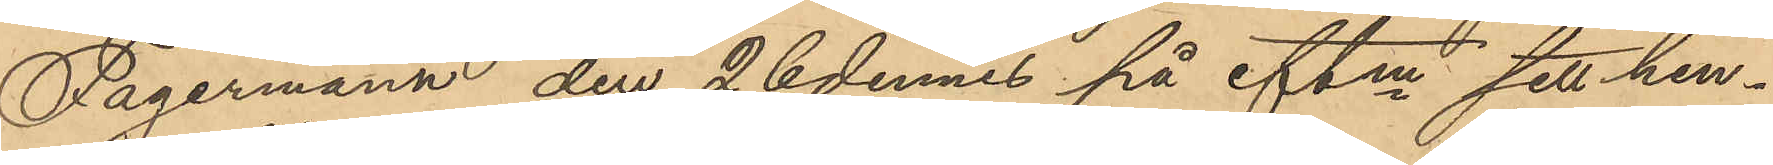Fagermann den 26 dennes på eftm sett hen¬
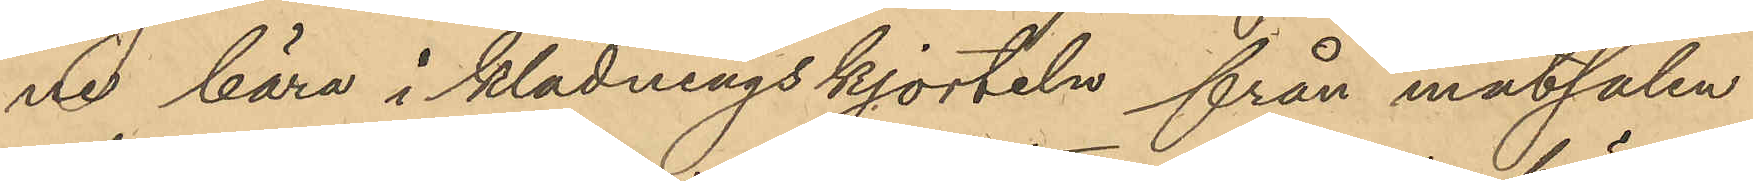ne bära i klädningskjorteln från matsalen
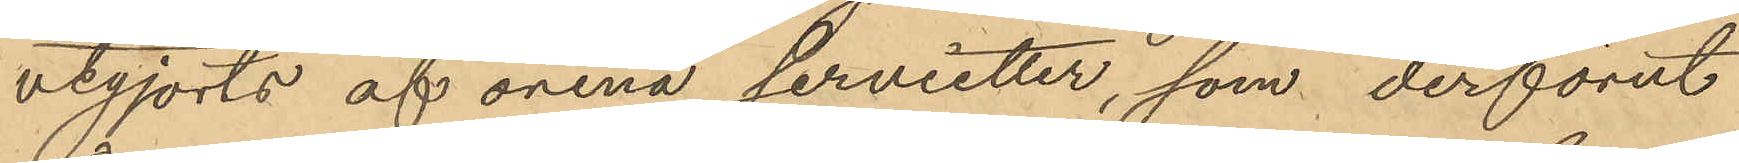utgjorts af orena servietter, som derförut
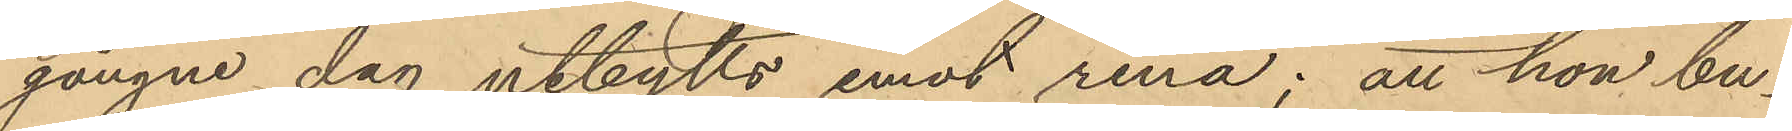gångne dag utbytts emot rena; att hon bu¬
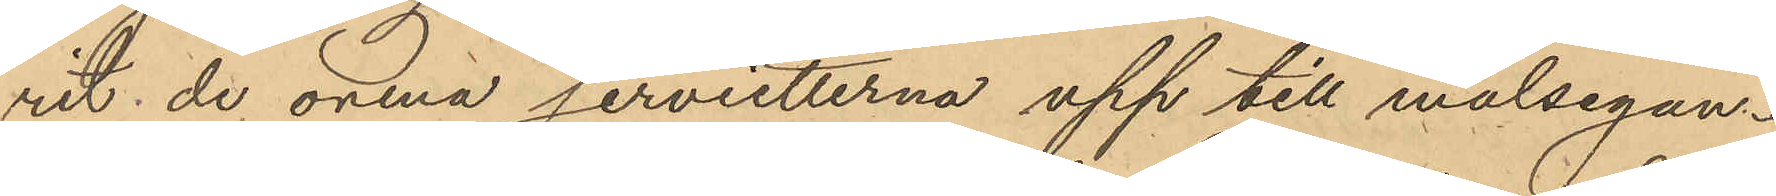rit de orena servietterna upp till målsegan¬
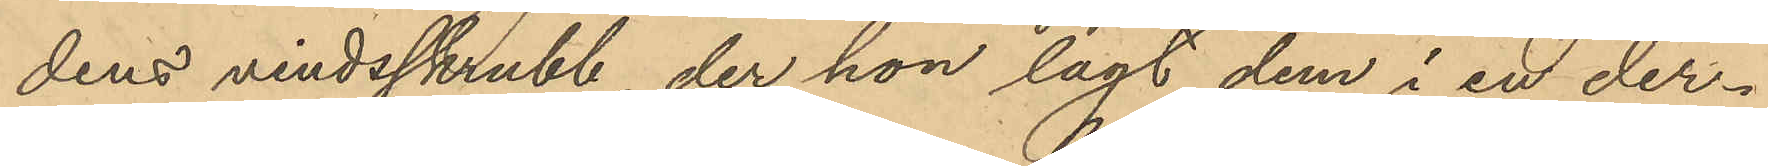dens vindsskrubb, der hon lagt dem i en der¬
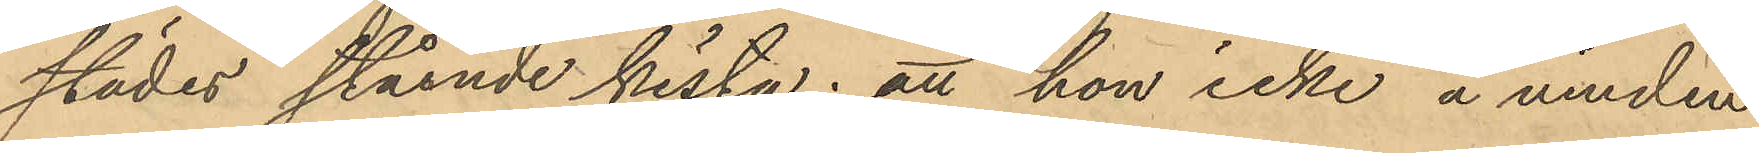städes stående kista; att hon icke å vinden
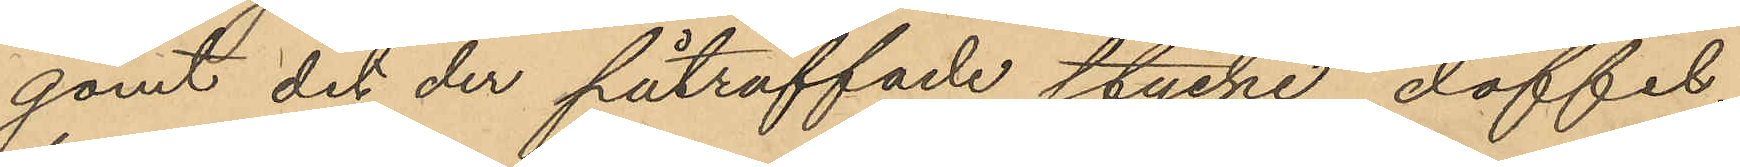gömt det der påträffade stycke doffel
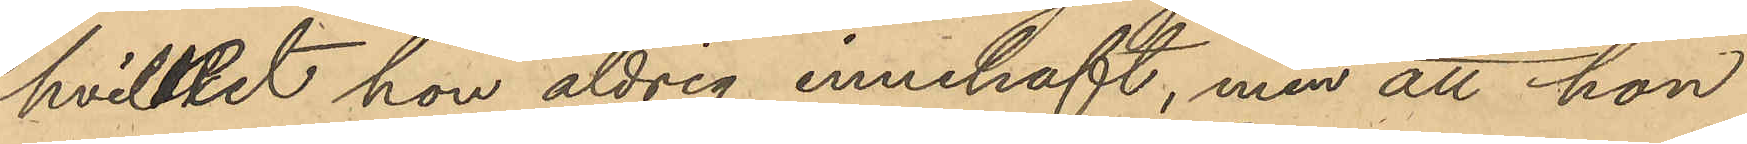hvilket hon aldrig innehaft, men att hon
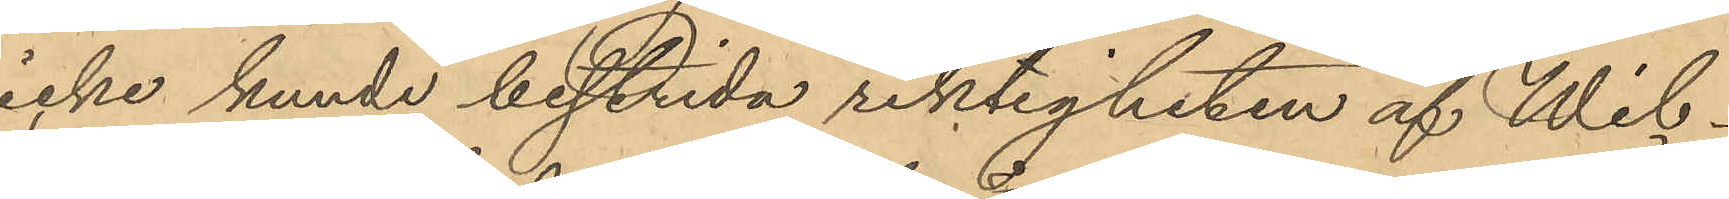icke kunde bestrida riktigheten af Wil¬
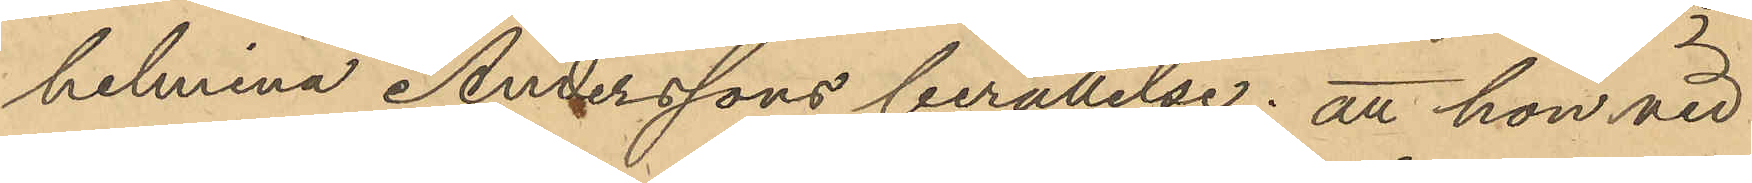helmina Anderssons berättelse; att hon vid
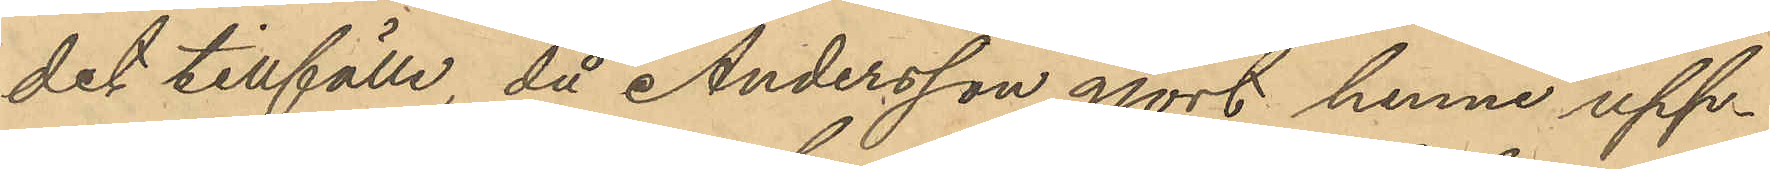det tillfälle, då Andersson gjort henne upp¬
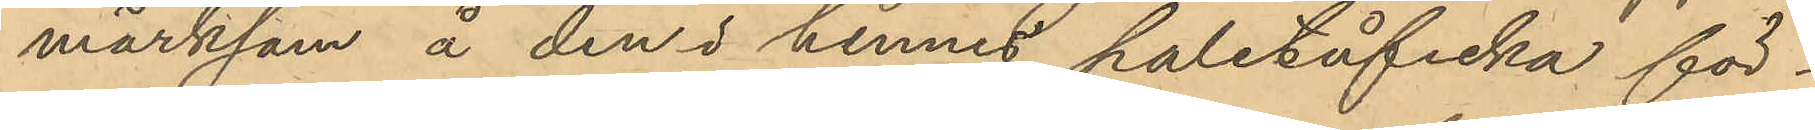märksam å den i hennes paletåficka för¬
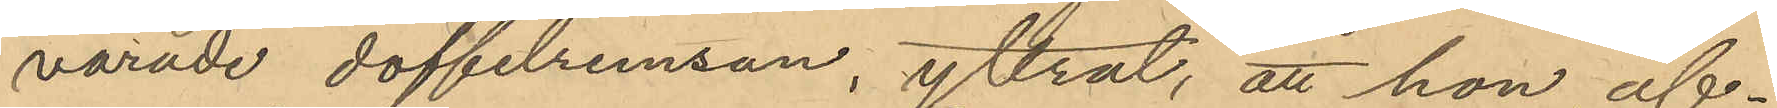varade doffelremsan yttrat, att hon af¬
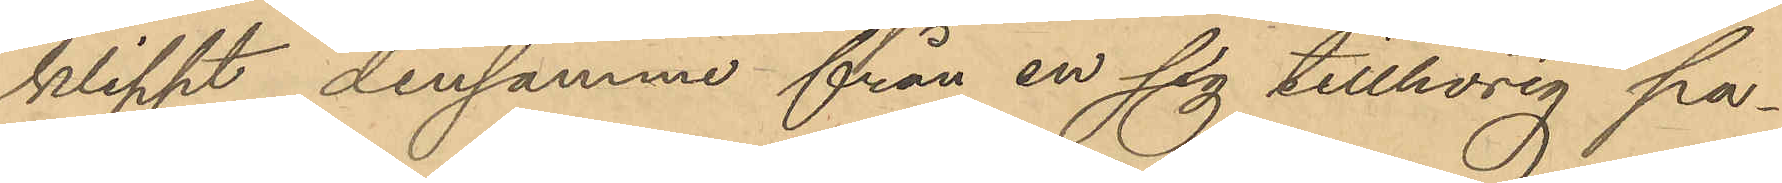klippt densamme från en sig tillhörig pa¬
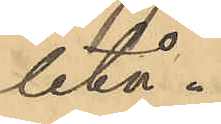letå.
